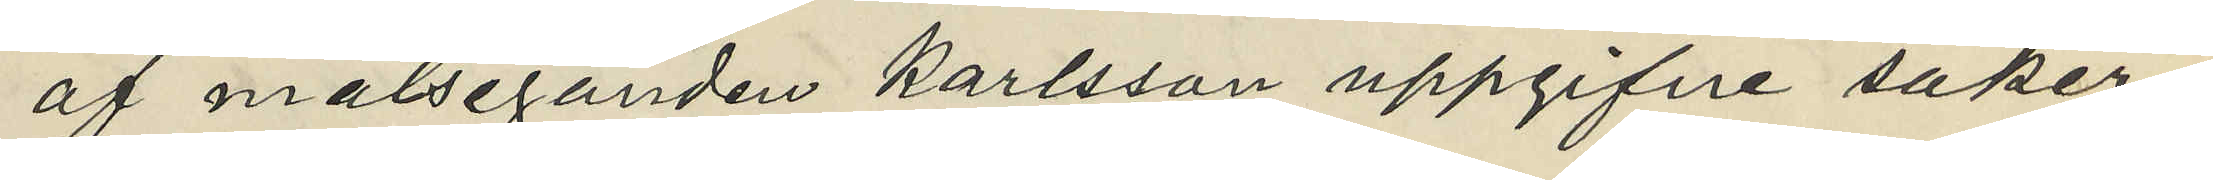af målseganden Karlsson uppgifne saker¬
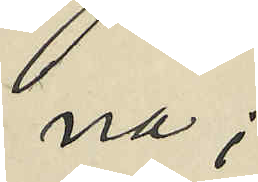na;
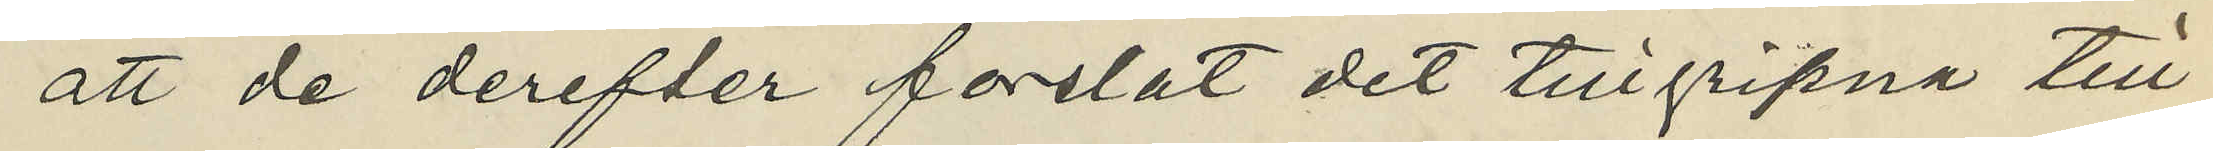att de derefter forslat det tillgripna till
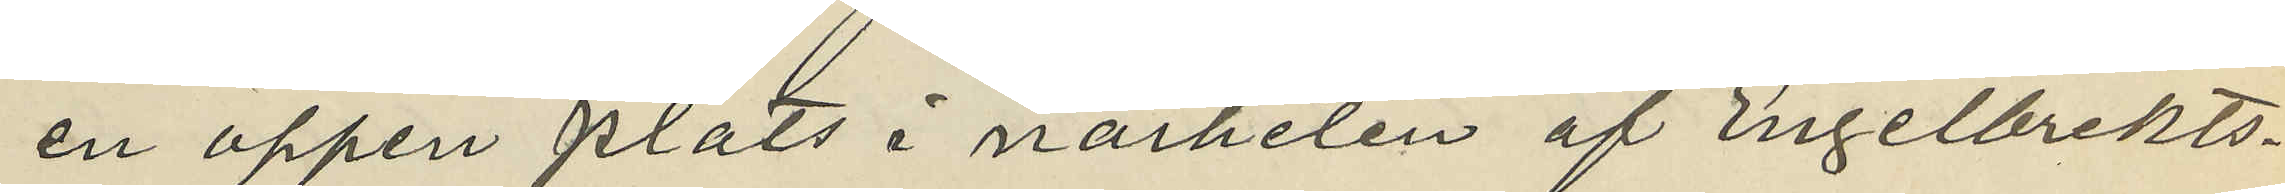en öppen plats i närheten af Engelbrekts¬
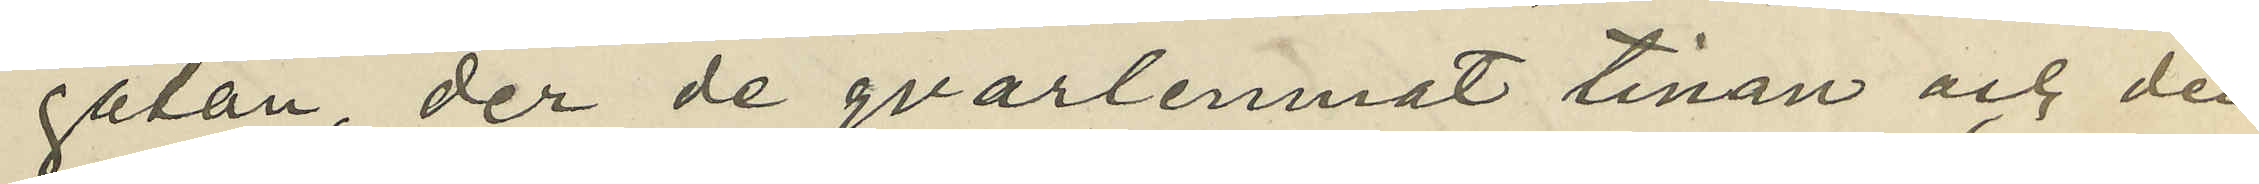gatan, der de qvarlemnat tinan och den
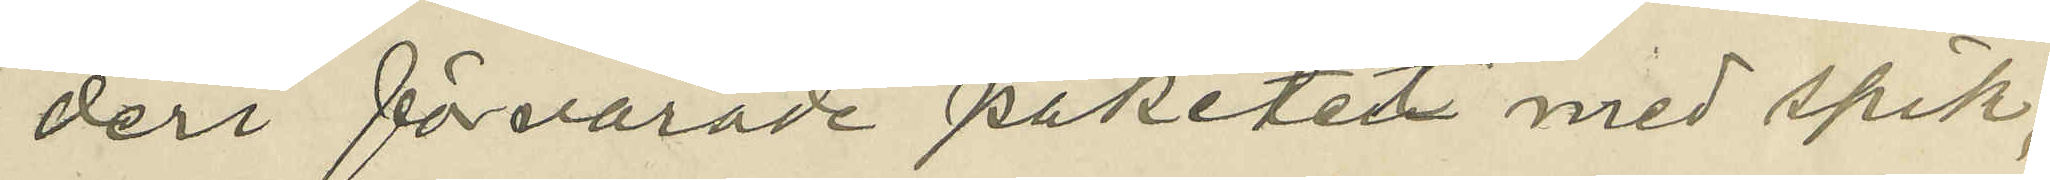deri förvarade paketet med spik,
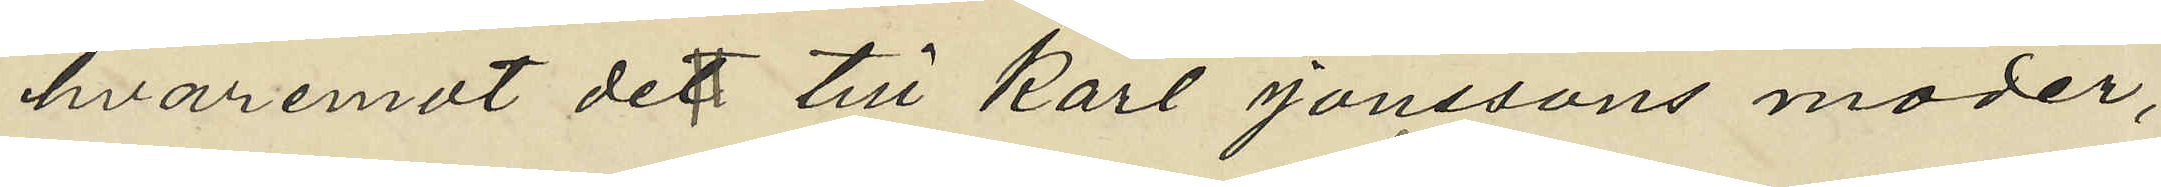hvaremot de till Karl Jonssons moder,
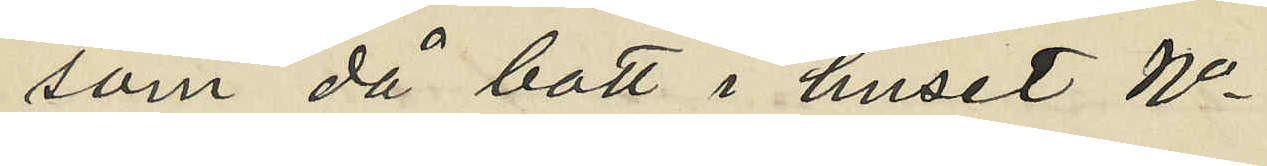som då bott i huset No
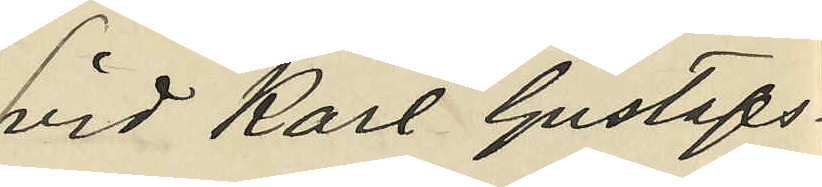vid Karl Gustafs¬
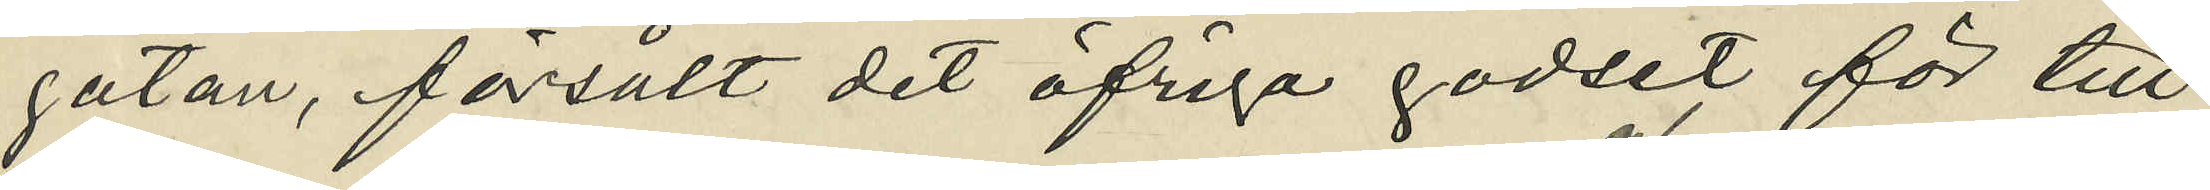gatan, försålt det öfriga godset för till
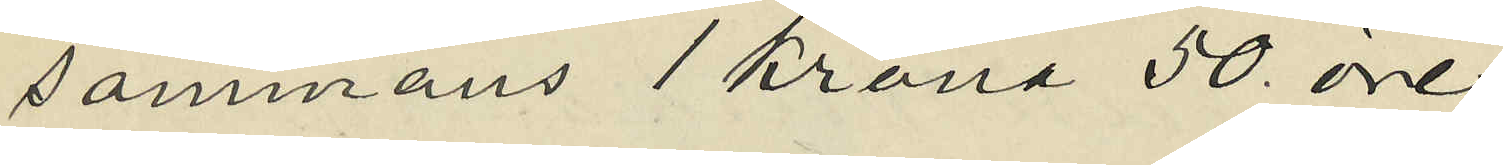sammans 1 Krona 50 öre
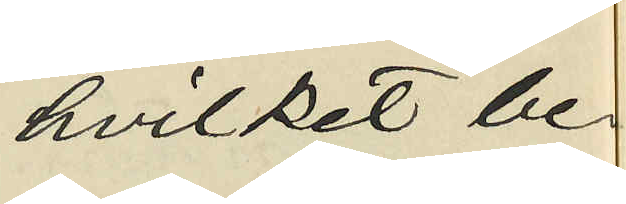hvilket be¬
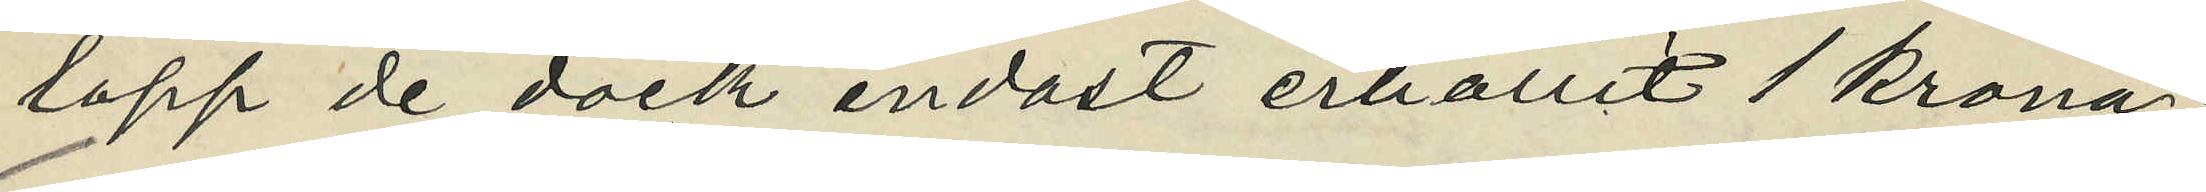lopp de dock endast erhållit 1 krona;
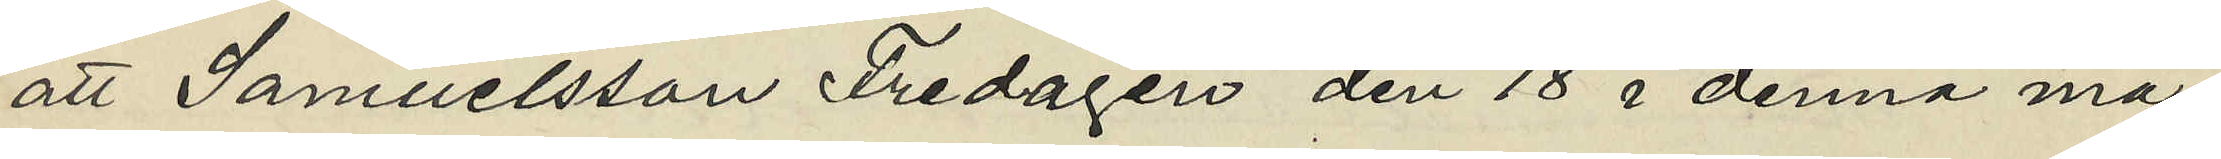att Samuelsson Fredagen den 18 i denna må¬
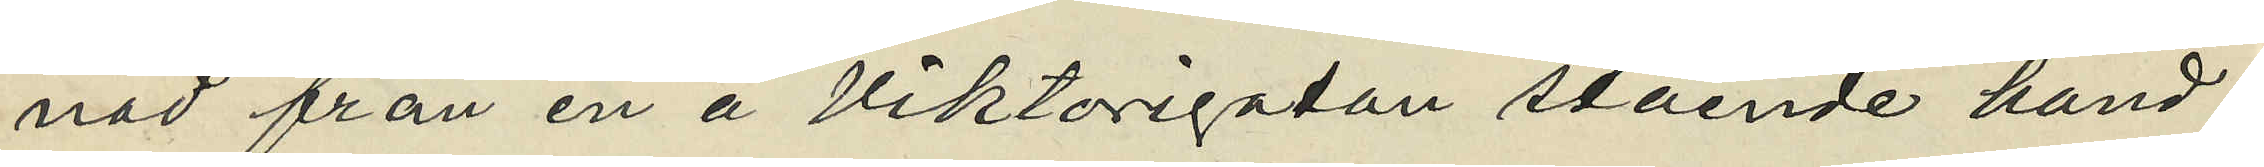nad från en å Viktorigatan stående hand¬
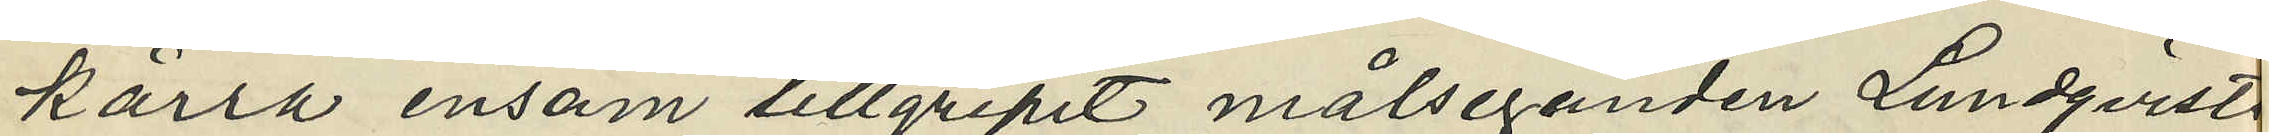kärra ensam tillgripit målseganden Lundqvist
